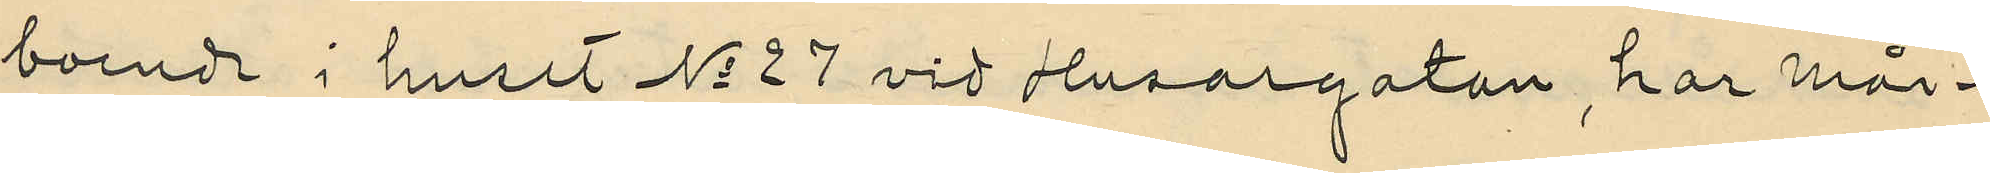boende i huset No 27 vid Husargatan, har mån¬
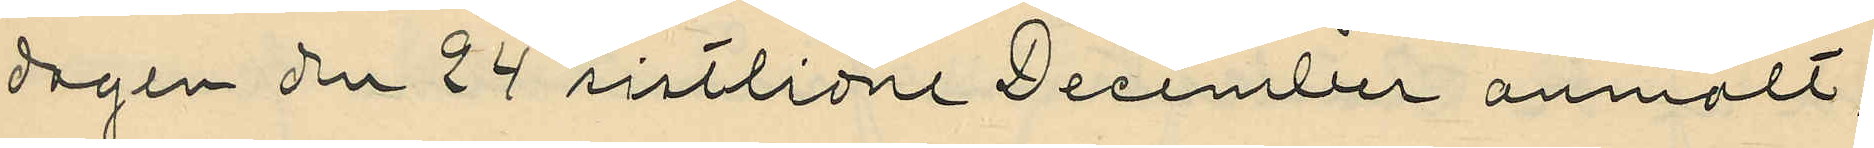dagen den 24 sistlidne December anmält,
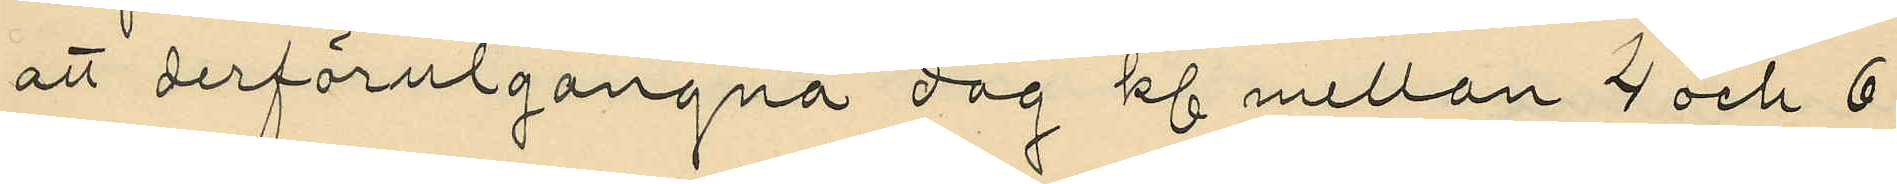att derförutgångna dag kl mellan 4 och 6
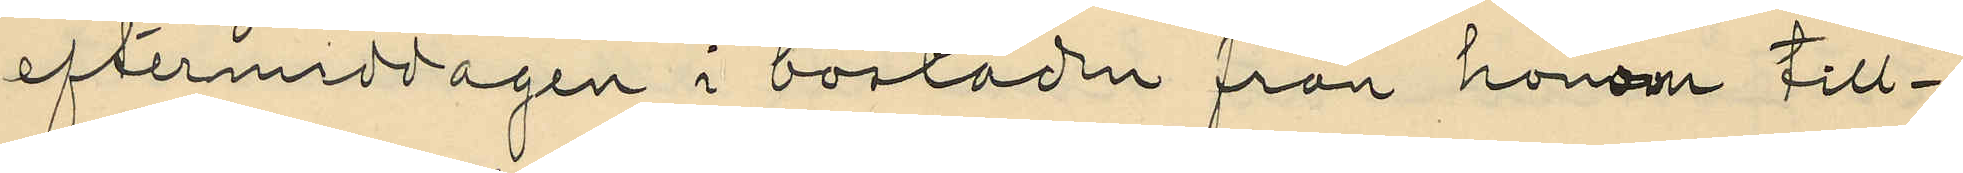eftermiddagen i bostaden från honom till¬
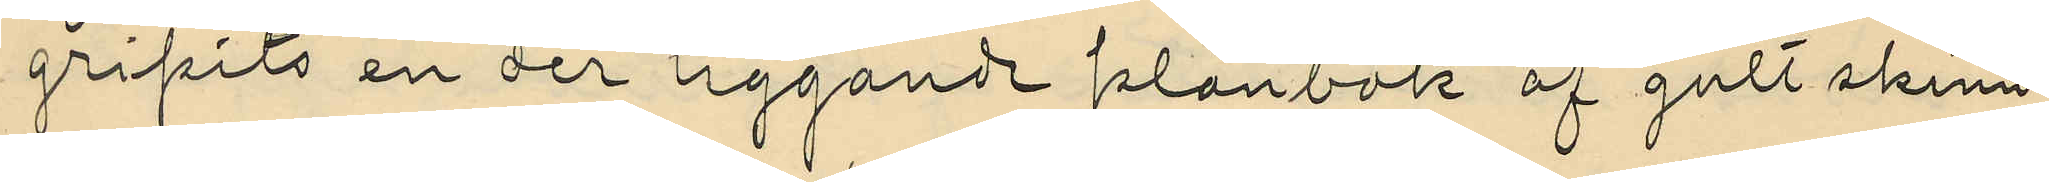gripits en der liggande plånbok af gult skinn,
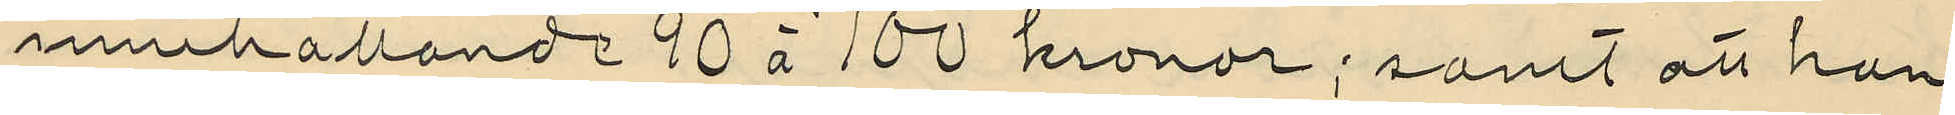innehållande 90 à 100 kronor; samt att han
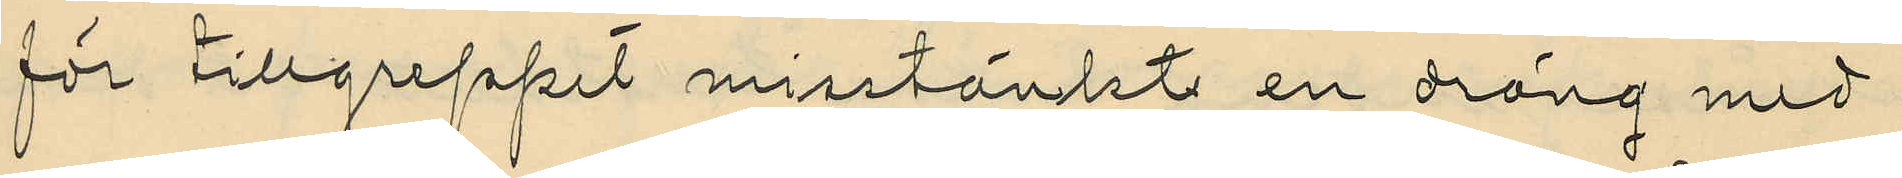för tillgreppt misstänkt en dräng med
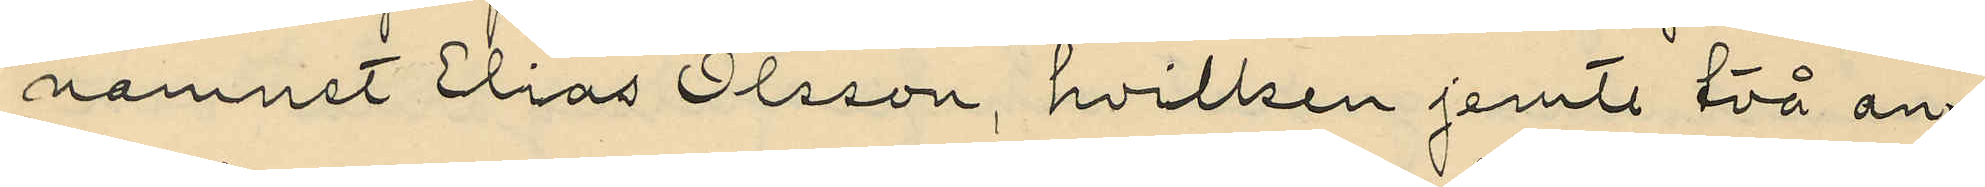namnet Elias Olsson, hvilken jemte två an¬
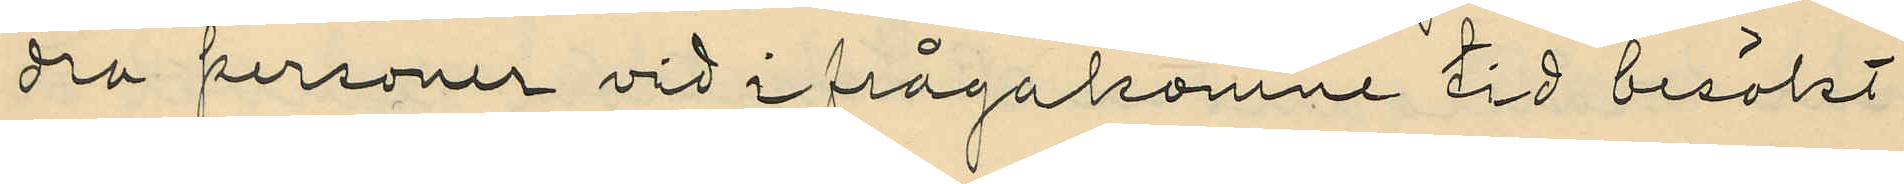dra personer vid ifrågakomne tid besökt
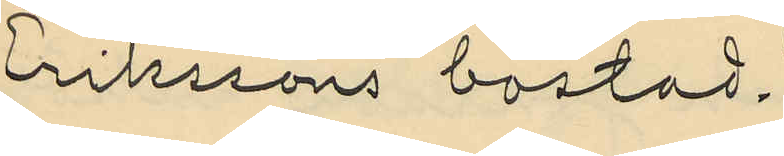Erikssons bostad.
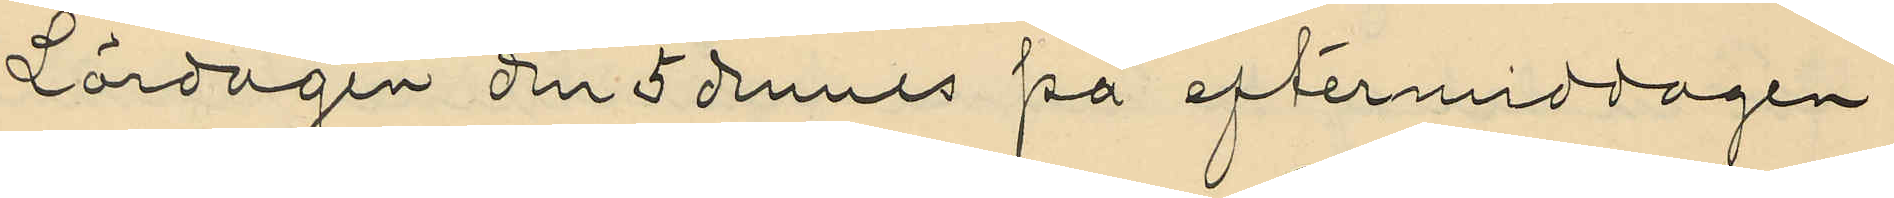Lördagen den 5 dennes på eftermiddagen
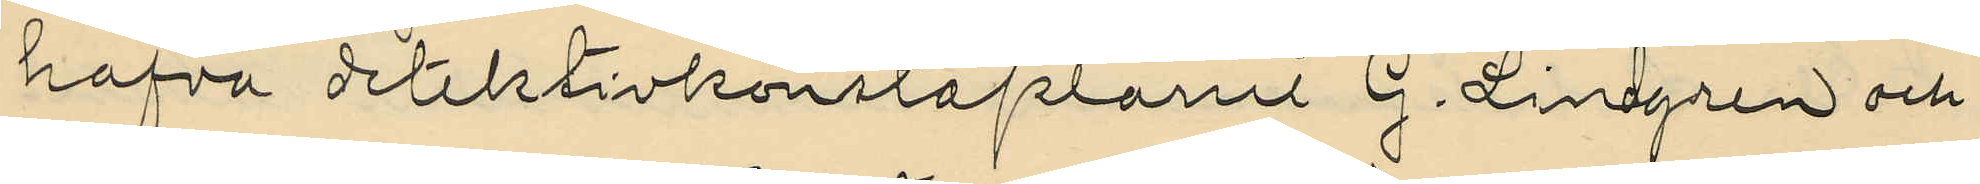hafva detektivkonstaplarne G. Lindgren och
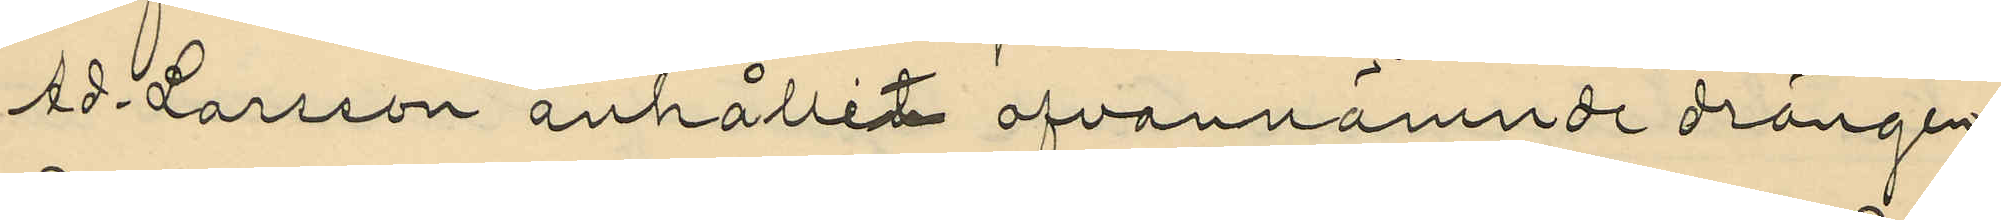Ad. Larsson anhållit ofvannämnde drängen
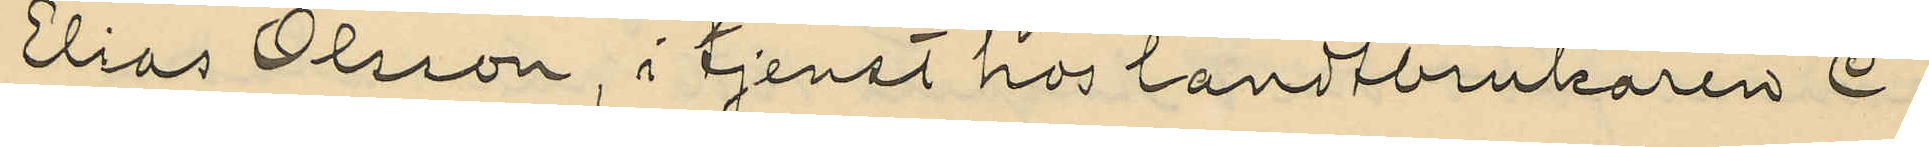Elias Olsson, i tjenst hos landtbrukaren C
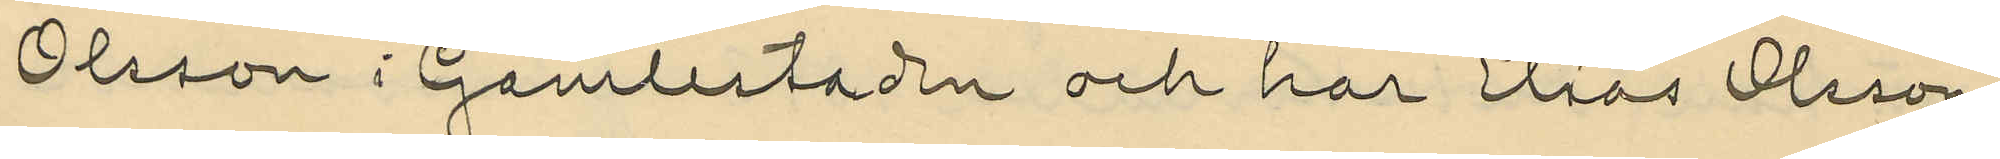Olsson i Gamlestaden och har Elias Olsson
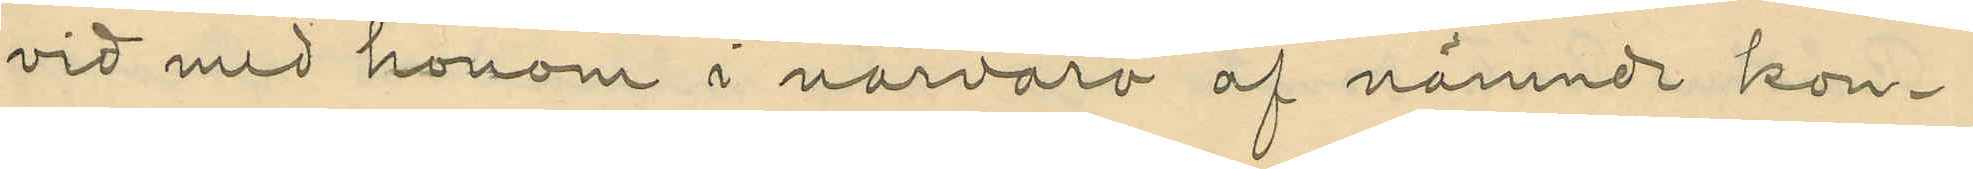vid med honom i narvaro af nämnde kon¬
